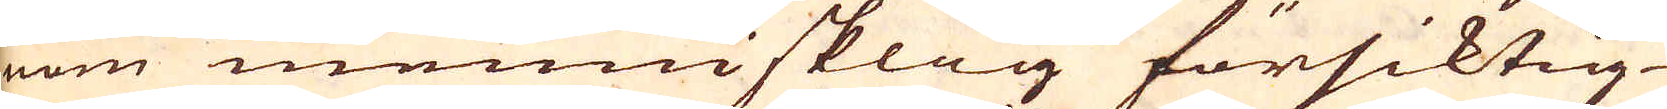nom mennisklig försiktig-
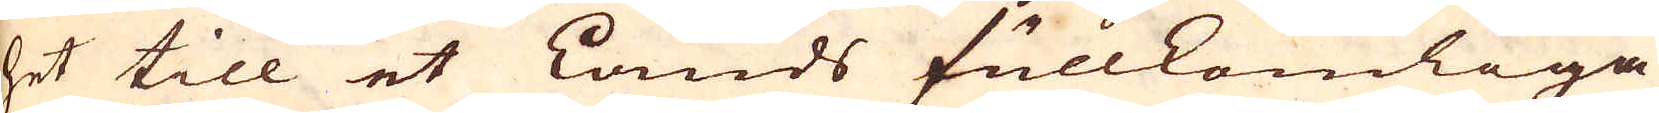het till et Lands fullkomliga
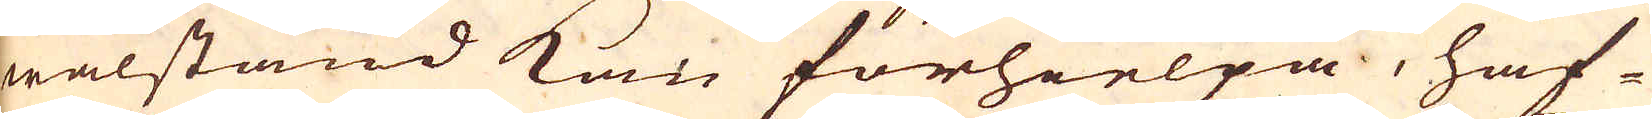wälstånd kan förhielpa, haf-
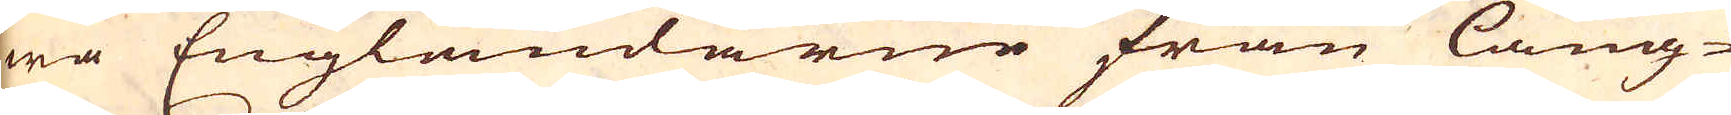wa Engländarne från lång-
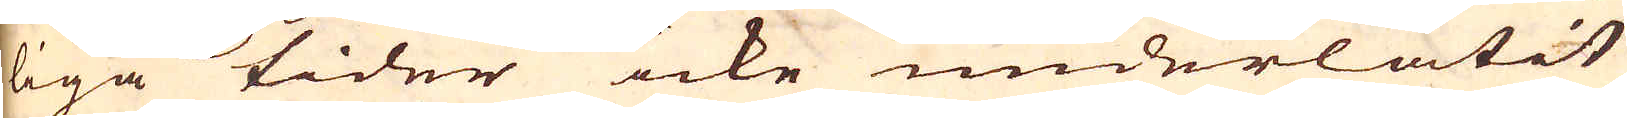liga tider icke underlåtit
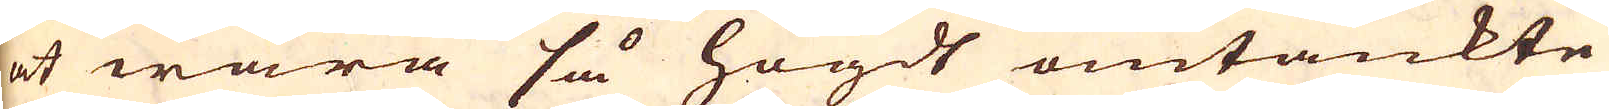at wara så högdt omtänkte
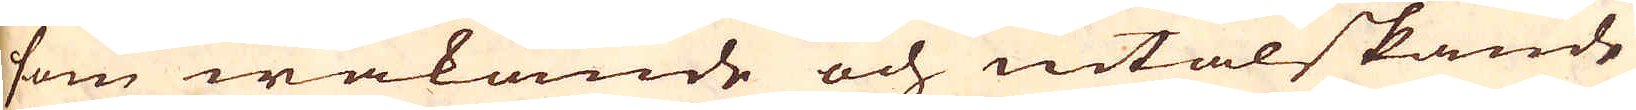som wakande och nitälskande
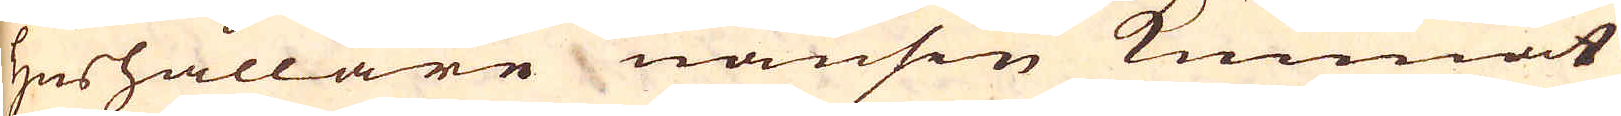Hushållare nånsin kunnat
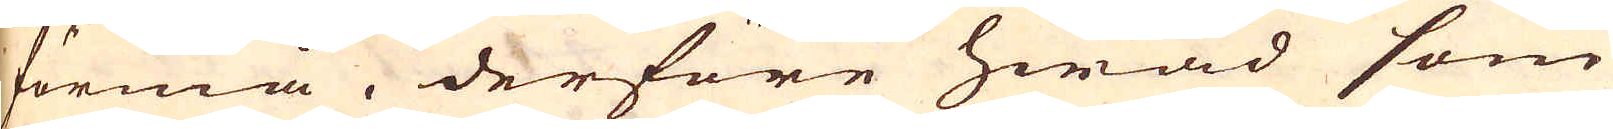förmå, derföre hwad som
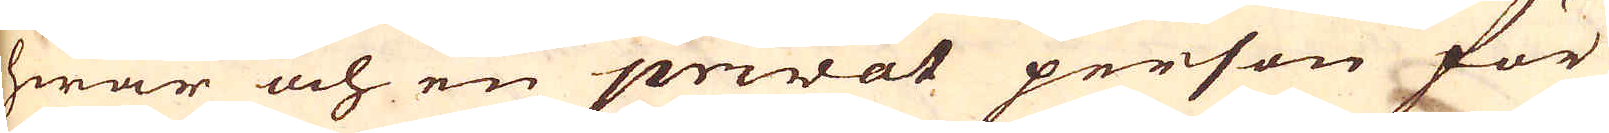hwar och en privat person för
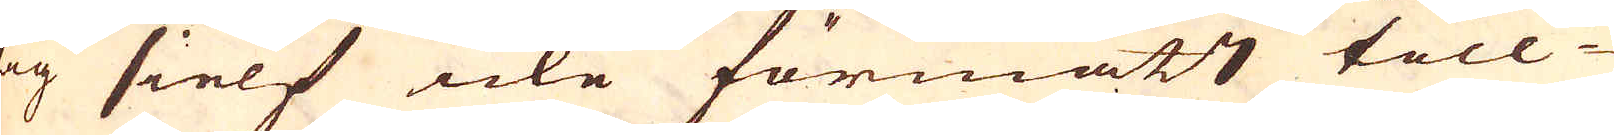sig sielf icke förmått till-
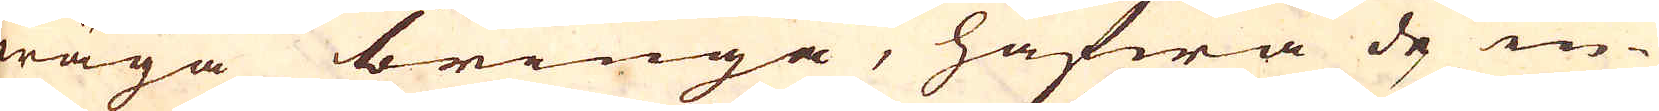wäga bringa, hafwa de in-
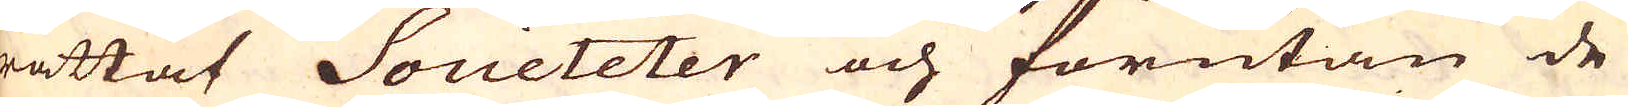rättat Societeter och förutan de
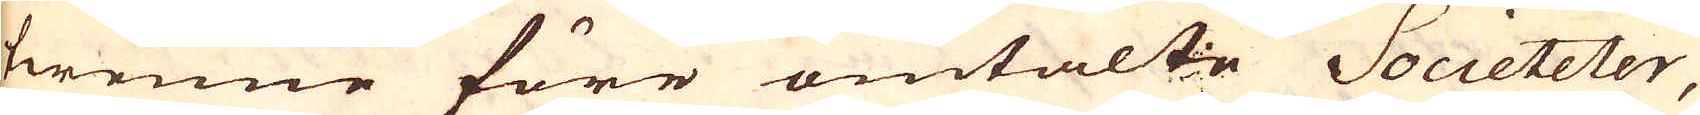twenne före omtalte Societeter,
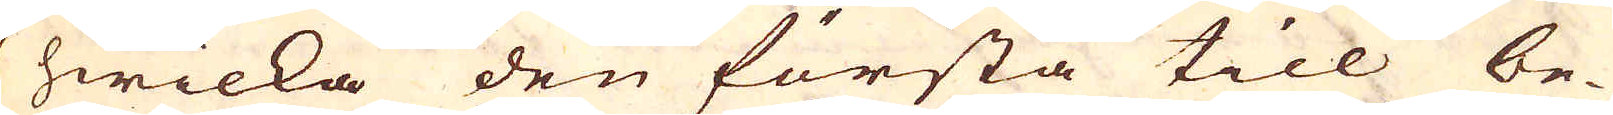hwilka den första till be-
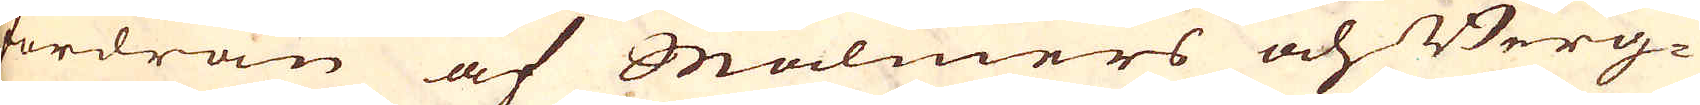fordran af Malmers och Berg-
